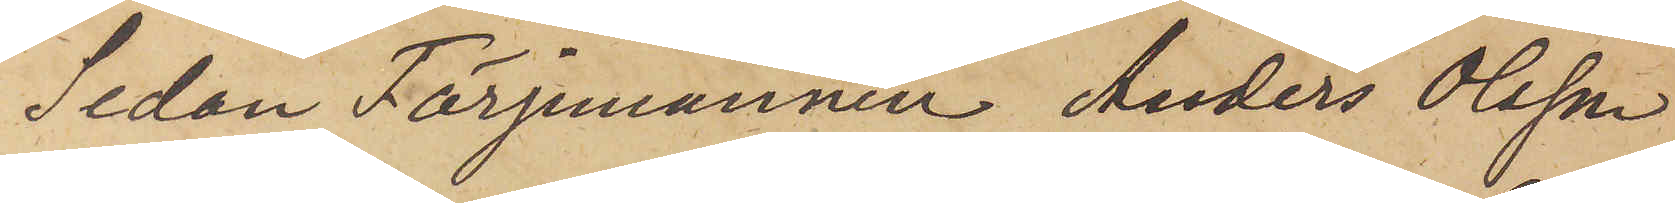Sedan Färjmannen Anders Olsson
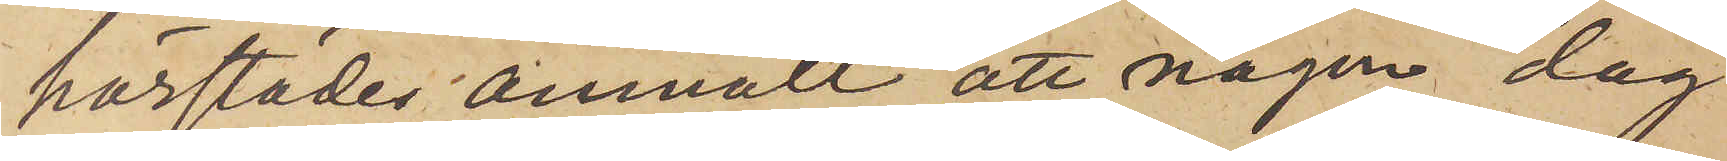härstädes anmält, att någon dag
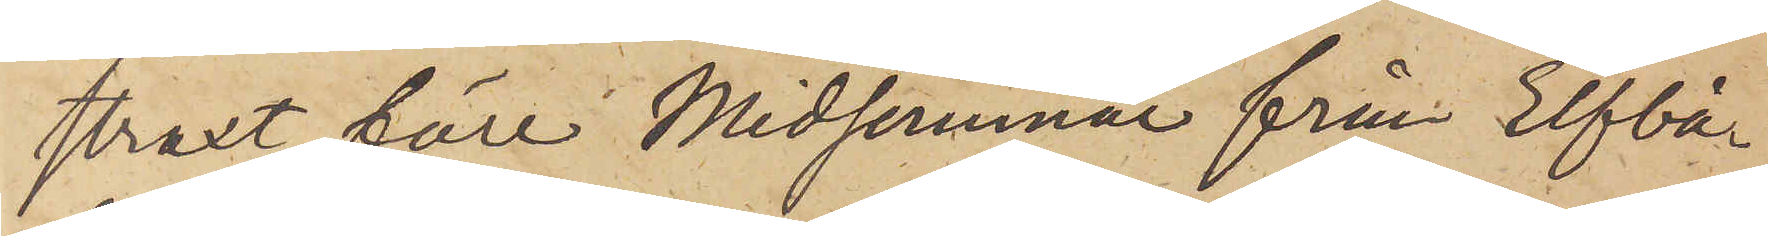straxt före Midsommar från Elfbå¬
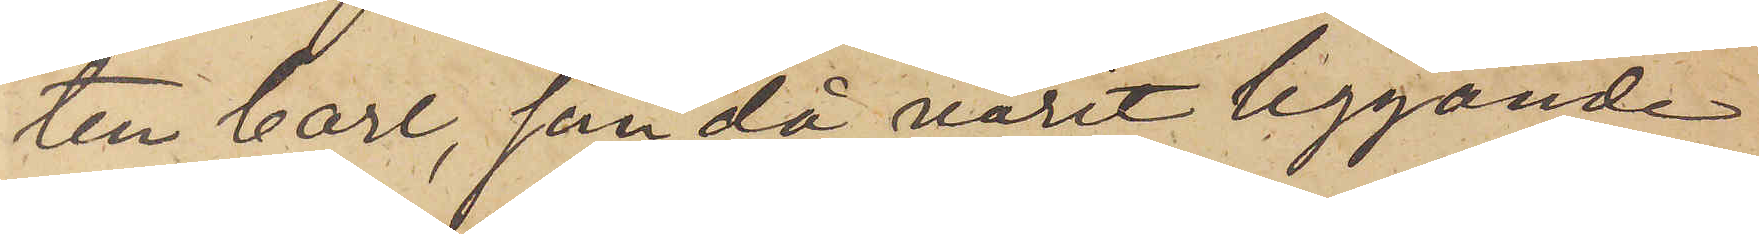ten Carl, som då varit liggande
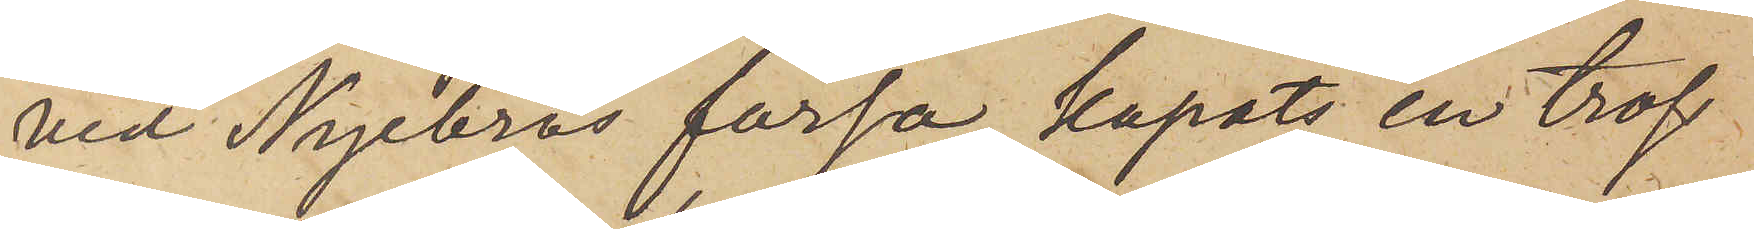vid Nyebros färja, kapats en tross
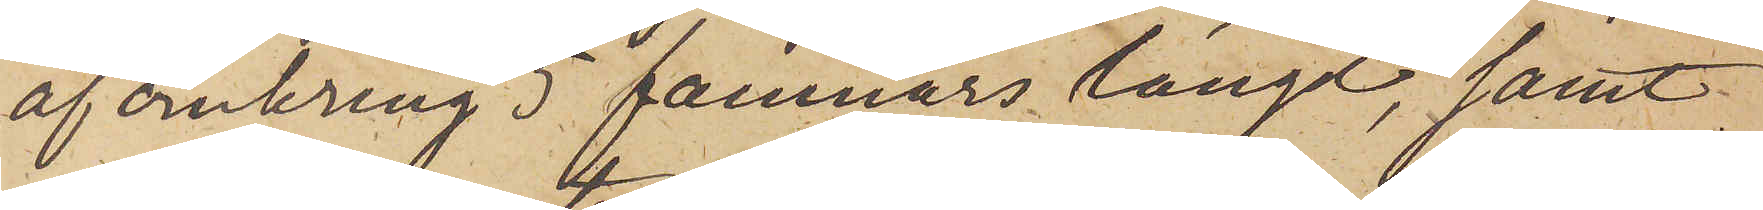af omkring 5 famnars längd, samt
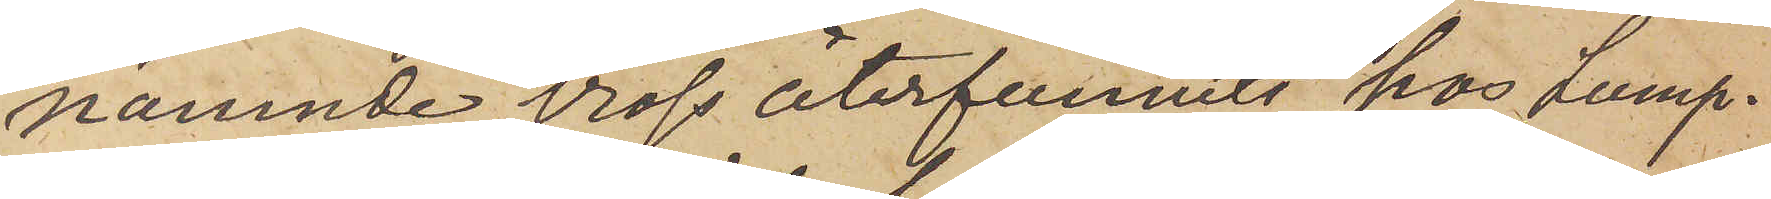nämnde tross återfunnits hos Lump¬
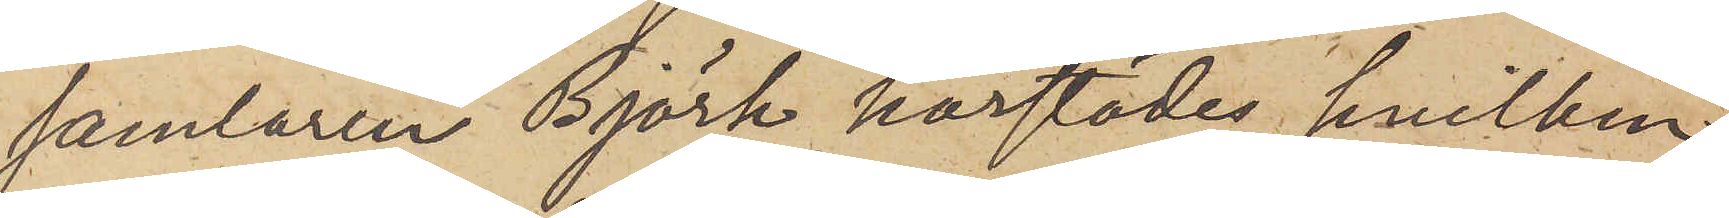samlaren Björk härstädes, hvilken
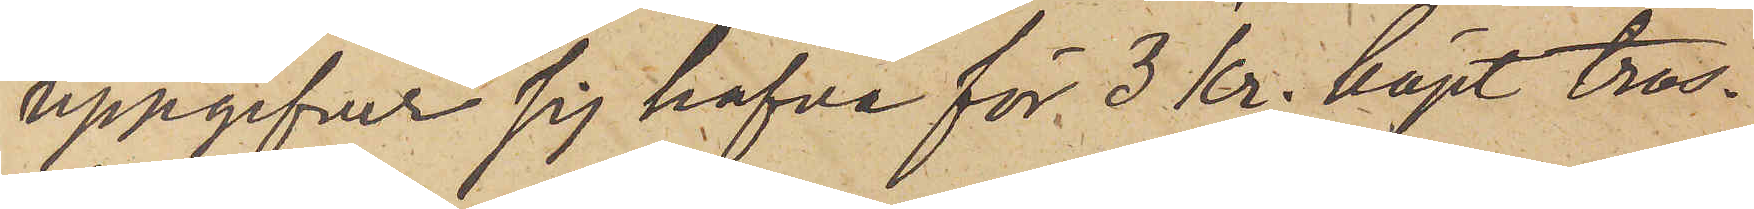uppgifver sig hafva för 3 kr. köpt tros¬
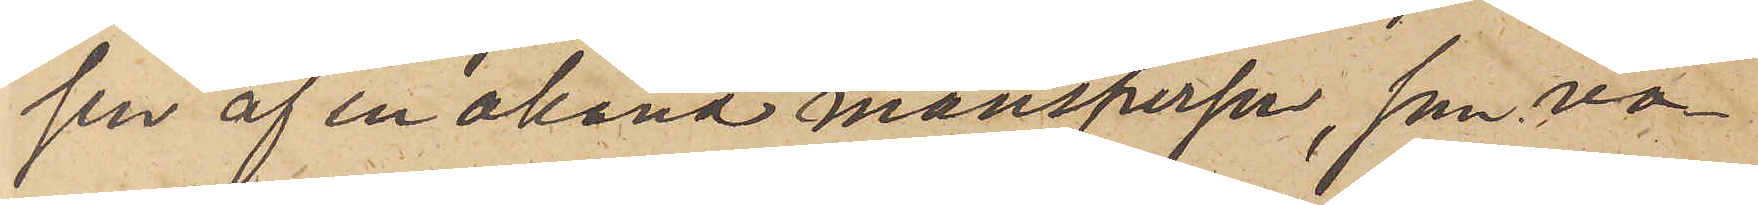sen af en okänd mansperson, som va¬
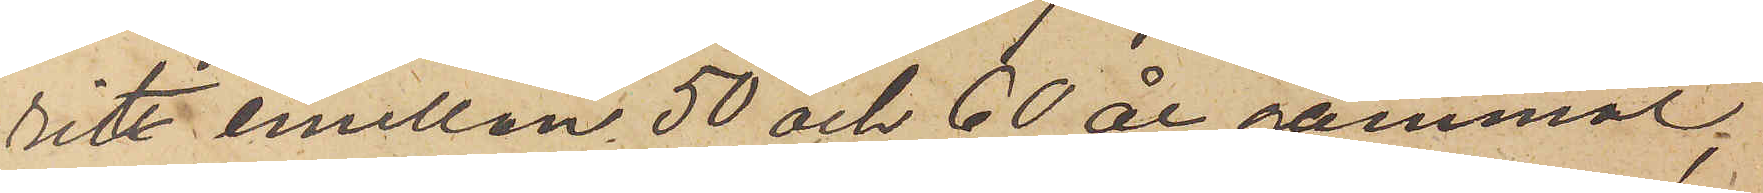rit emellan 50 och 60 år gammal,
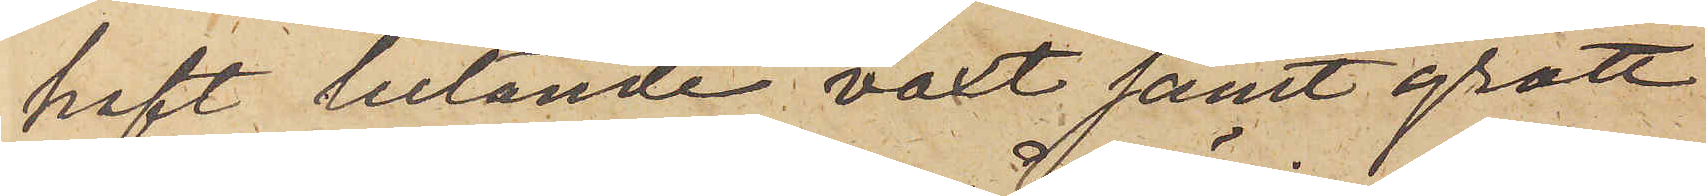haft lutande växt samt grått
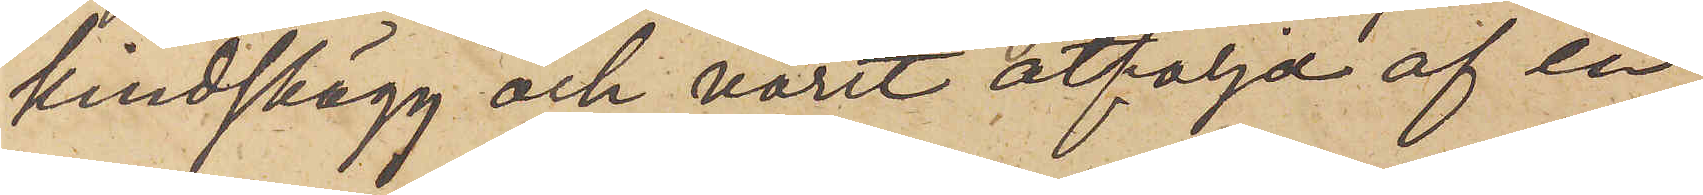kindskägg och varit åtföljd af en
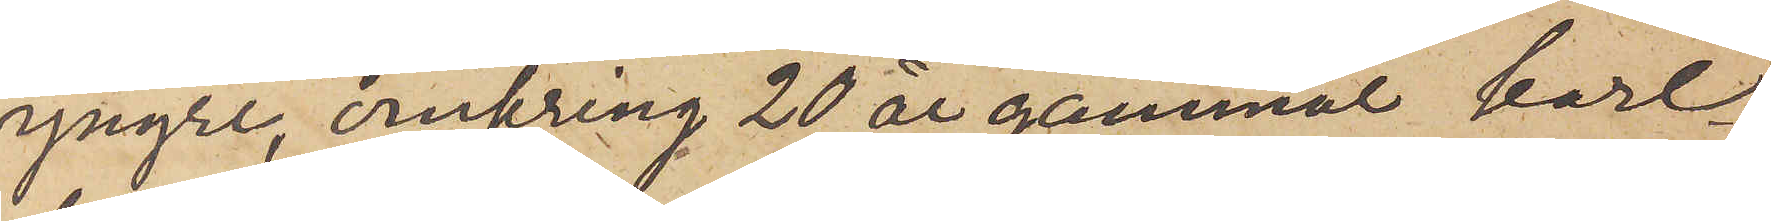yngre, omkring 20 år gammal karl
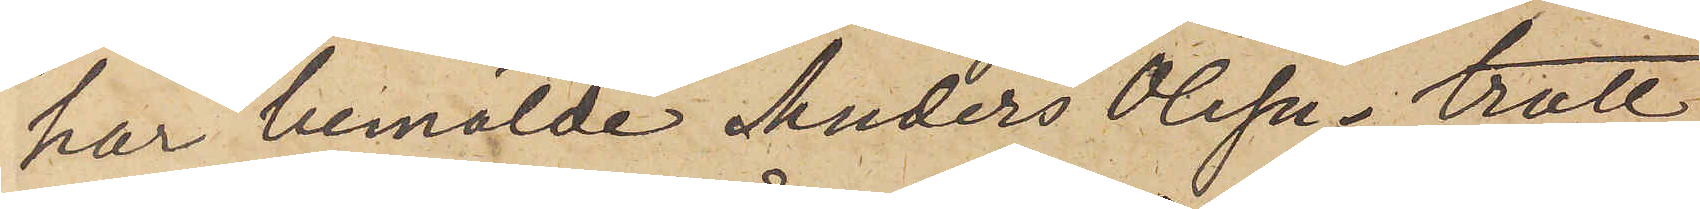har bemälde Anders Olsson trott
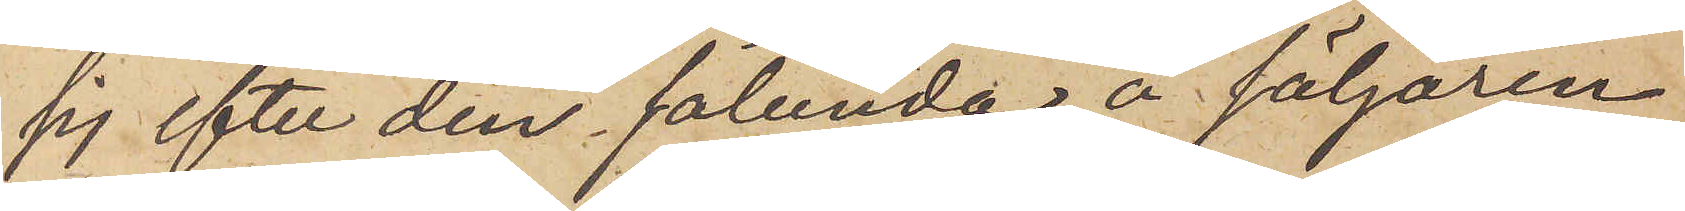sig efter den sålunda å säljaren
